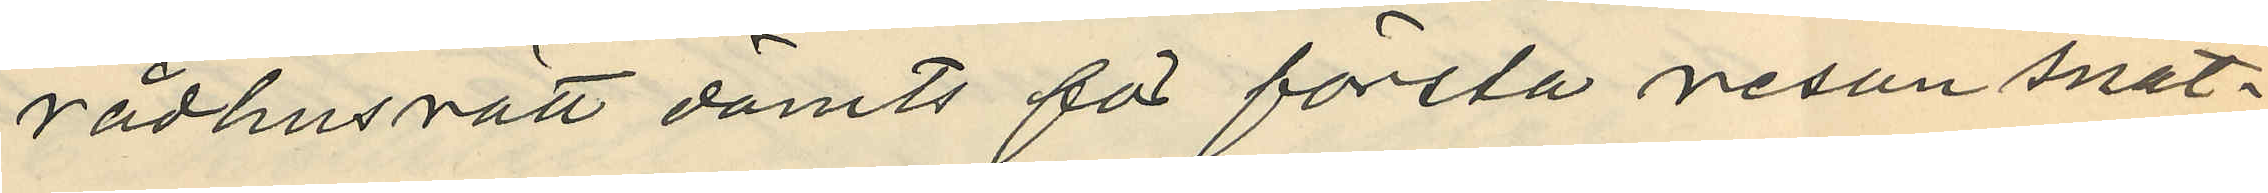rådhusrätt dömts för första resan snat¬
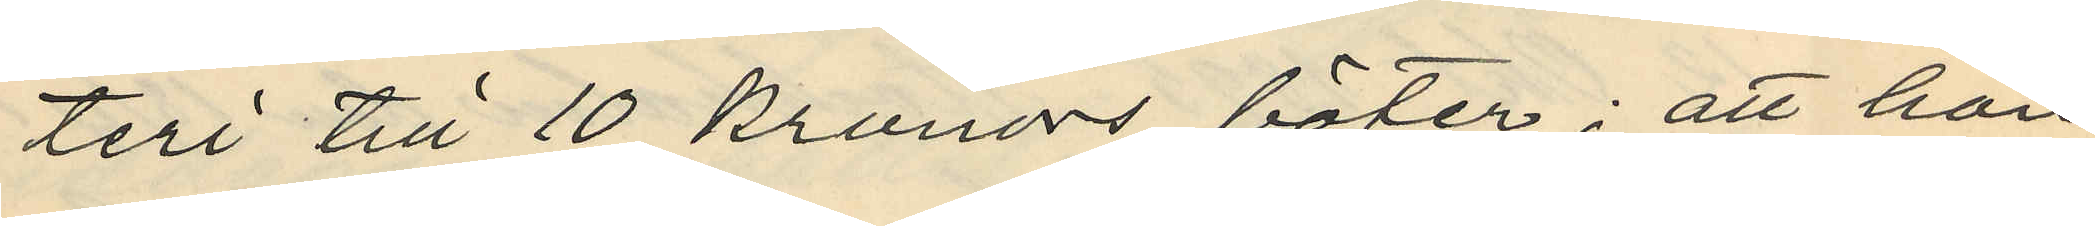teri till 10 kronors böter; att han
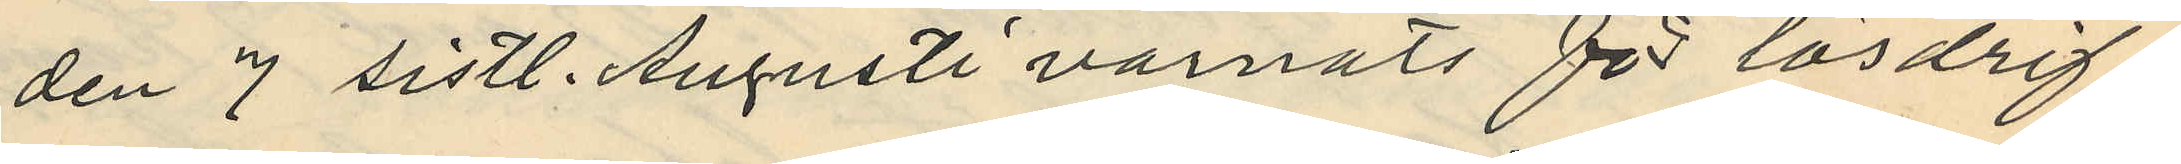den 7 sistl. Augusti varnats för lösdrif¬
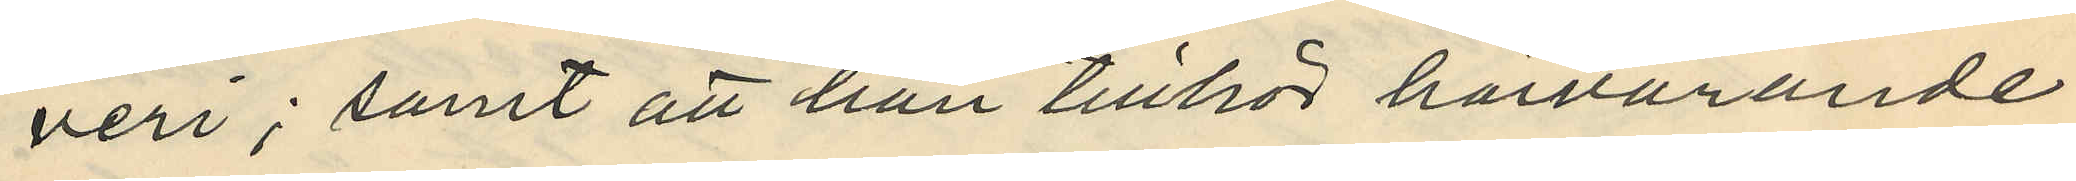veri; samt att han tillhör härvarande
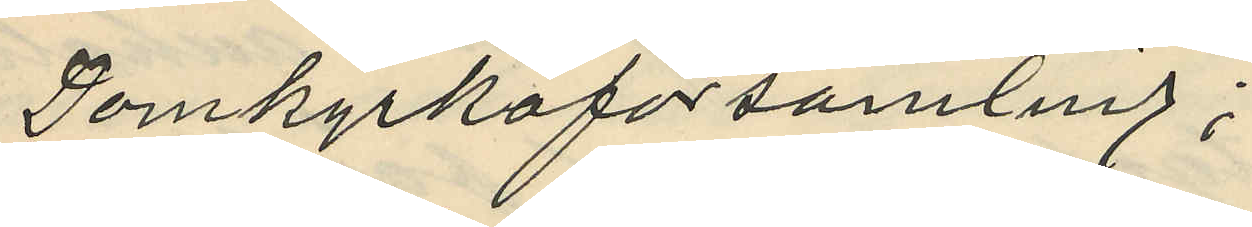Domkyrkoförsamling;
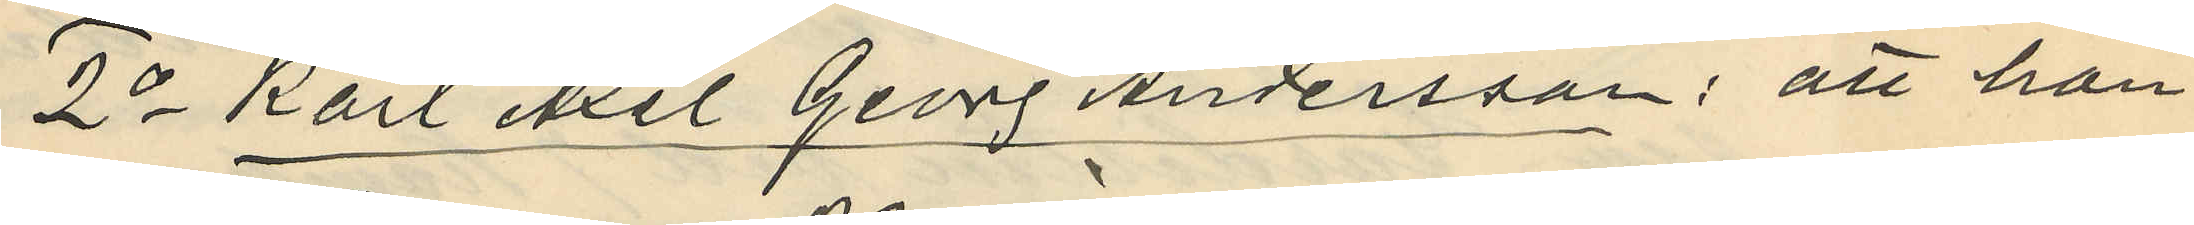2o Karl Axel Georg Andersson: att han
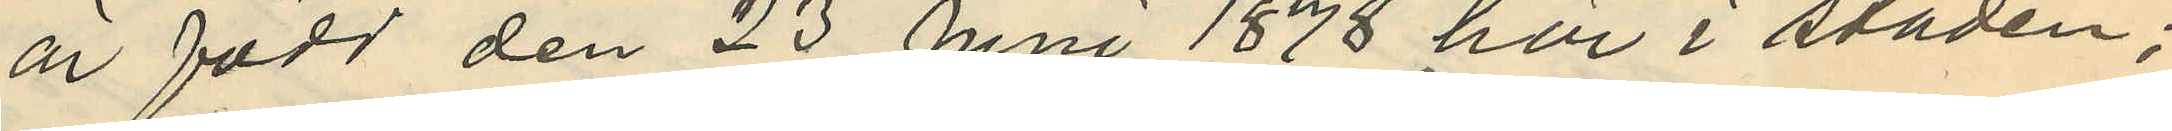är född den 23 Juni 1878 här i staden;
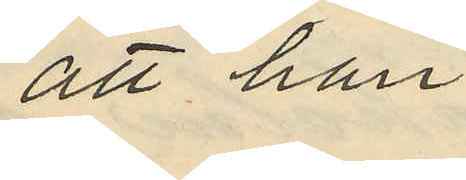att han
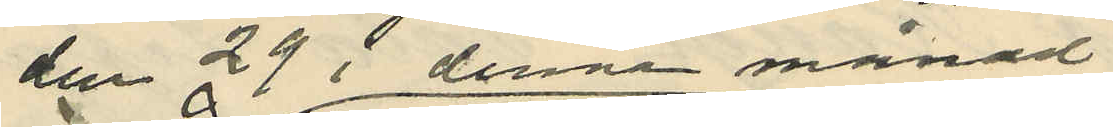den 29 i denna månad
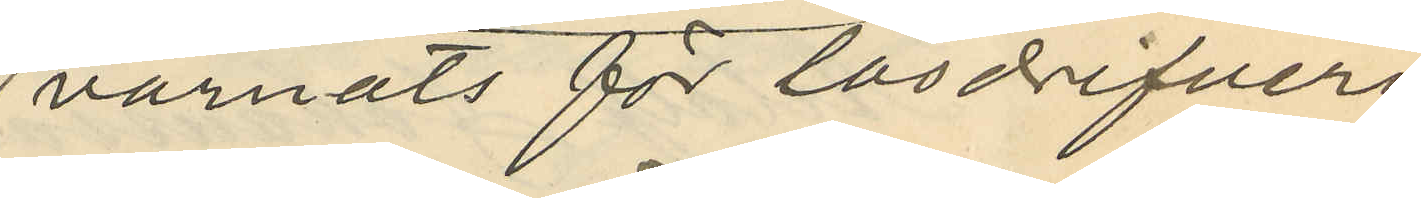varnats för lösdrifveri
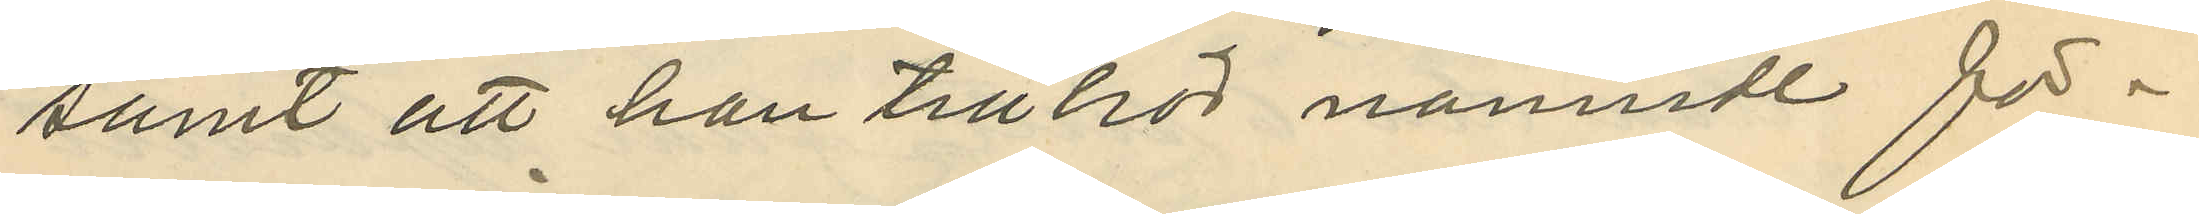samt att han tillhör nämnde för¬
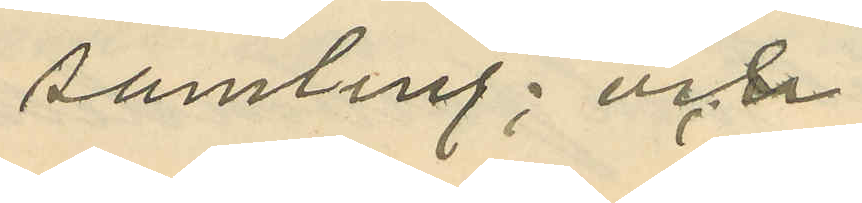samling; och
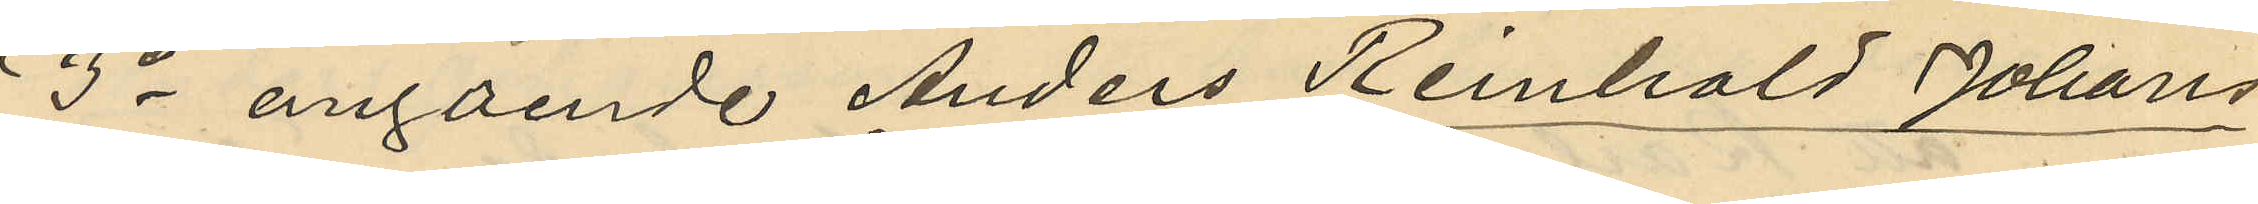3o angående Anders Renhold Johans¬
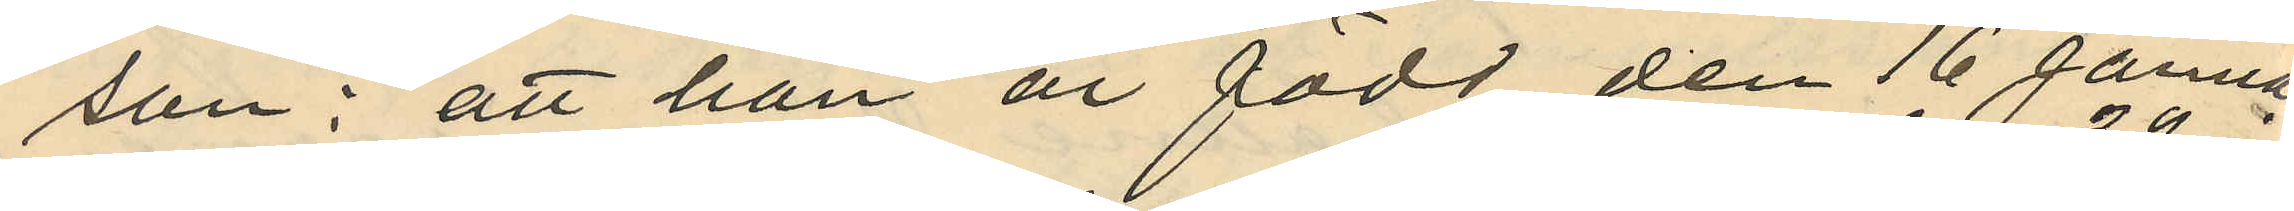son: att han är född den 16 Januari
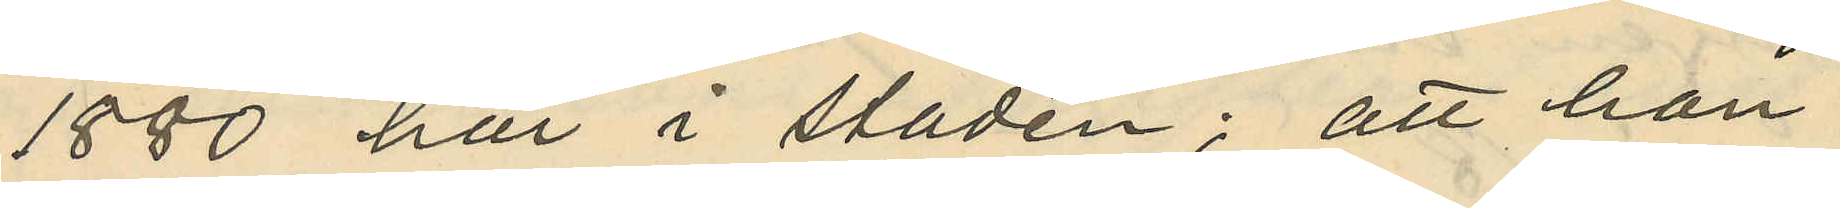1880 här i staden; att han
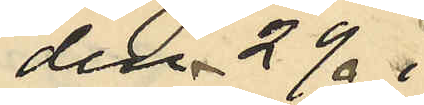den 29. i
